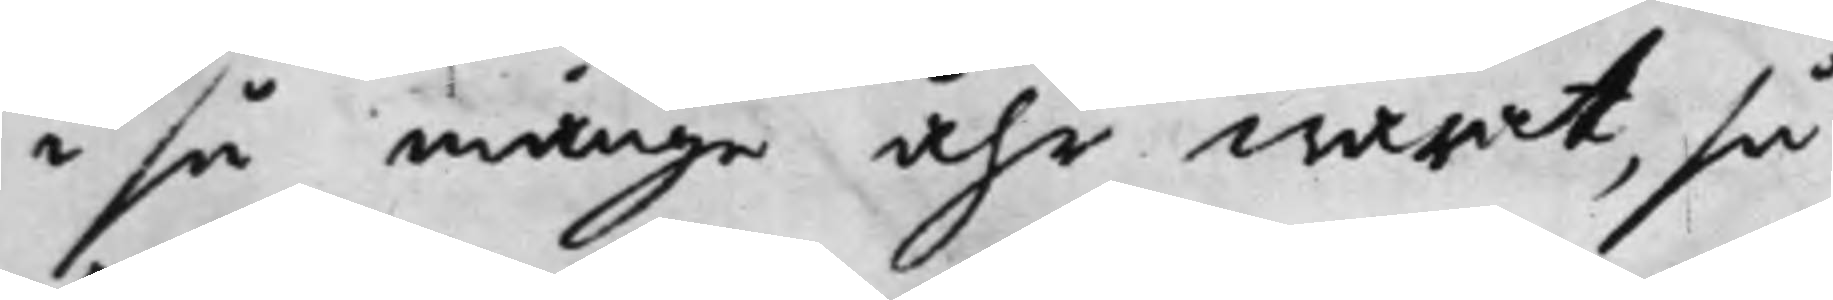i så månge åhr warat, så
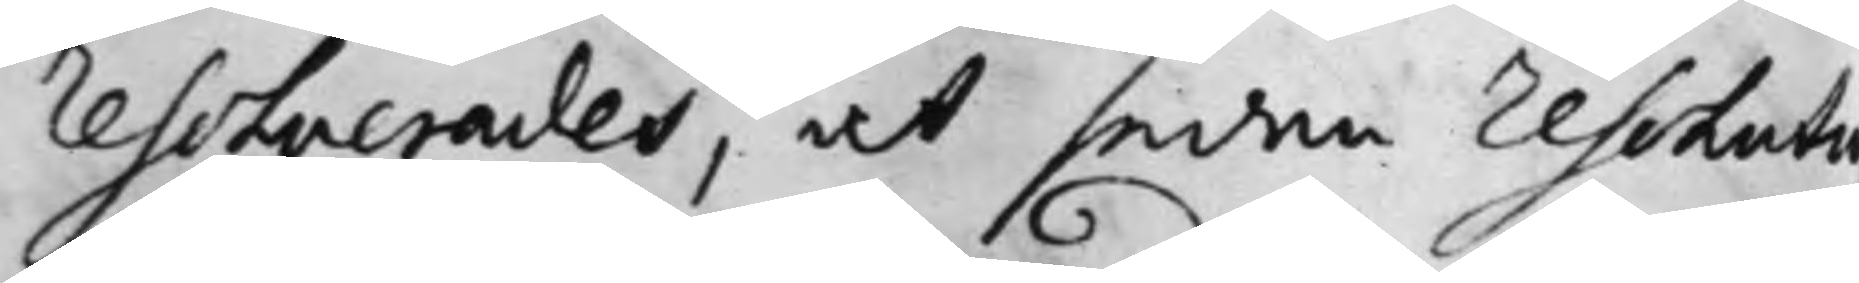Resolverades, at sedan Resoluti
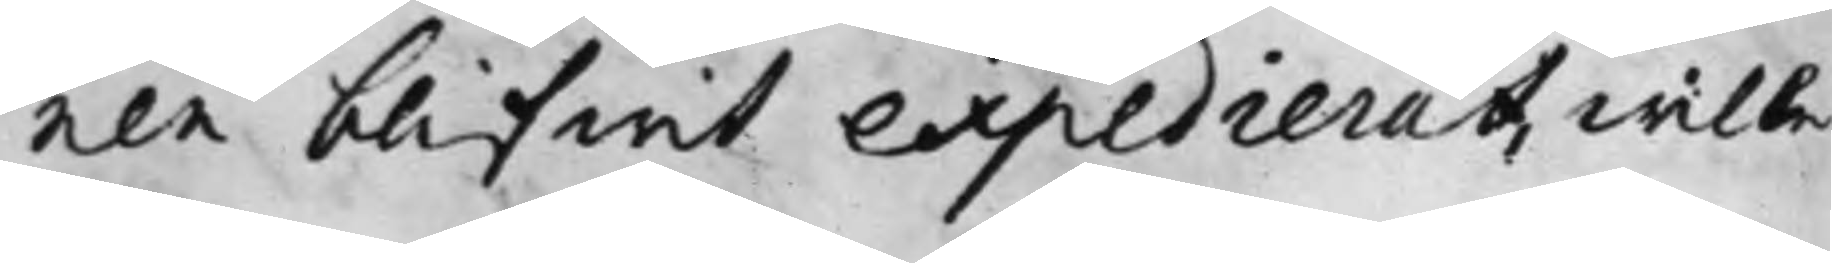nen blifwit expedierat, wille
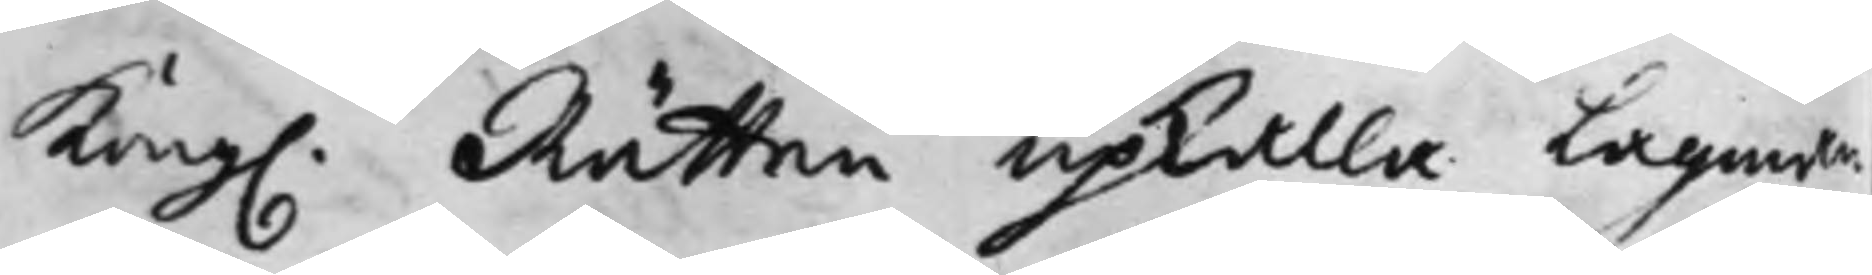Kong. Rätten upkalla Lagman¬
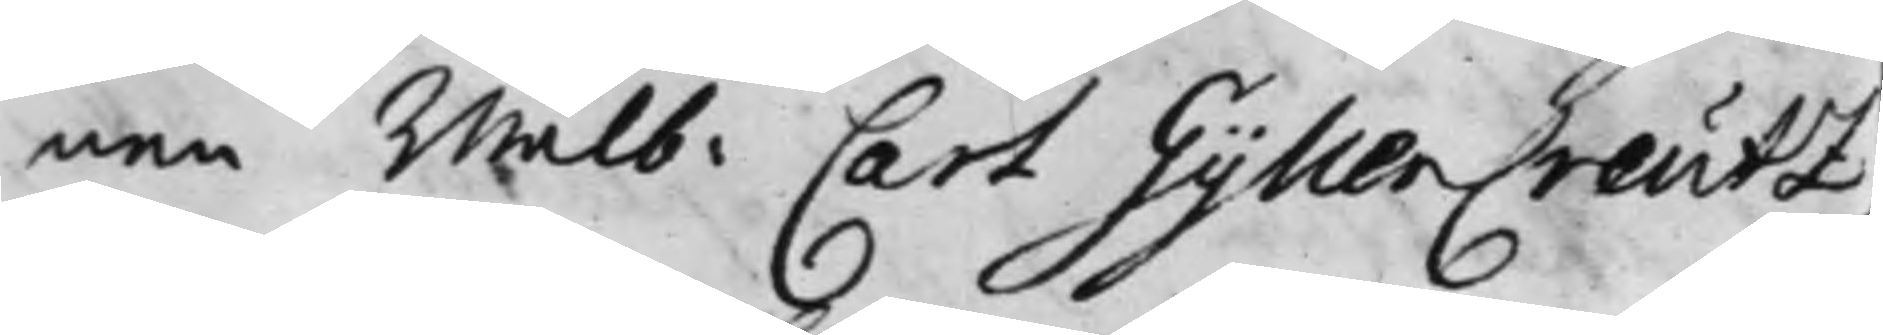nen Wälb: Carl GyllenCreutz,
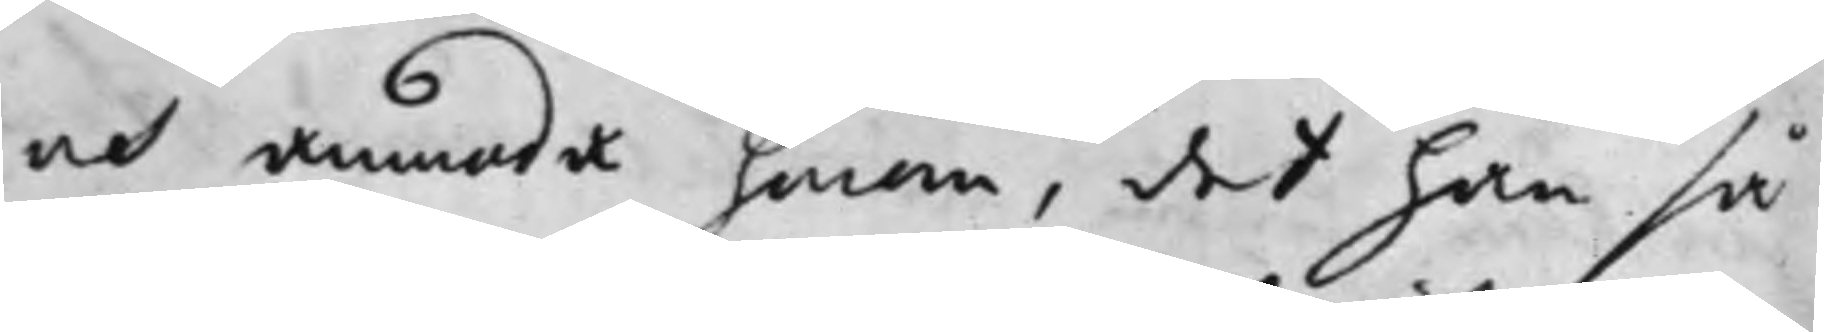at anmoda honom, det han så
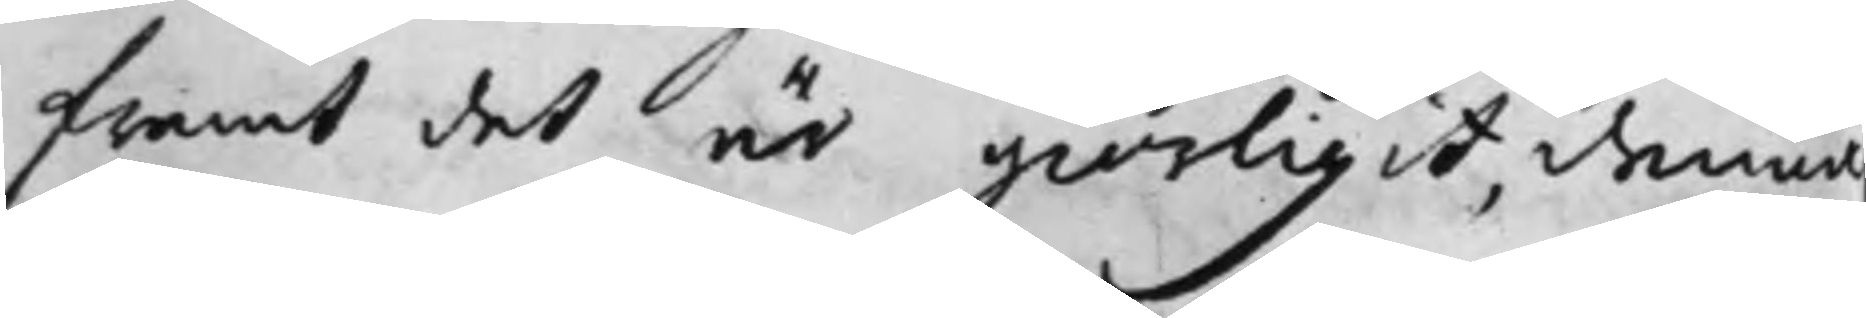framt det är giörligit, denna
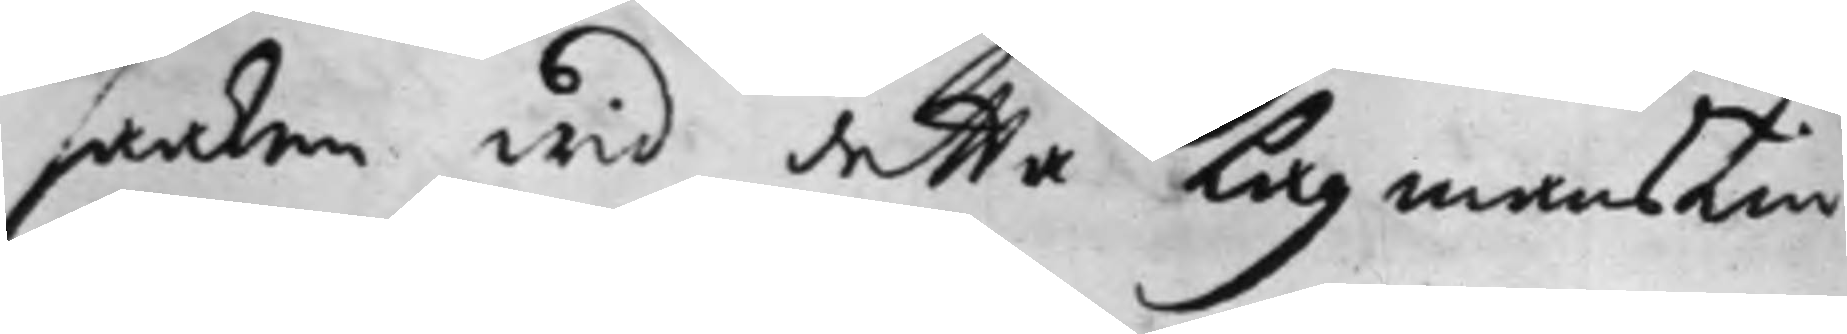saaken wid detta Lagmans Tin¬
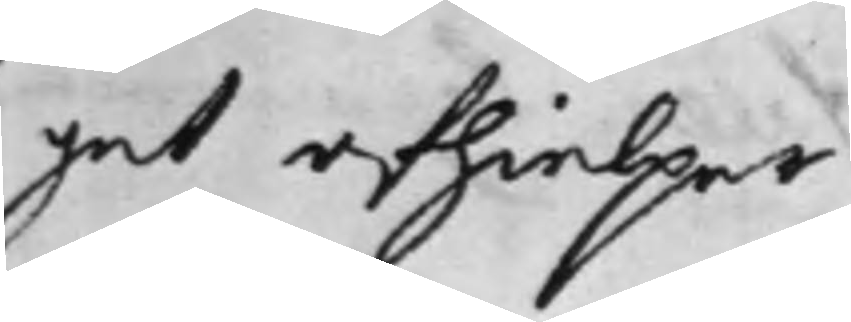get afhielper.
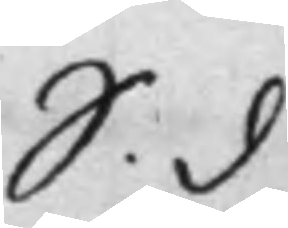S. d
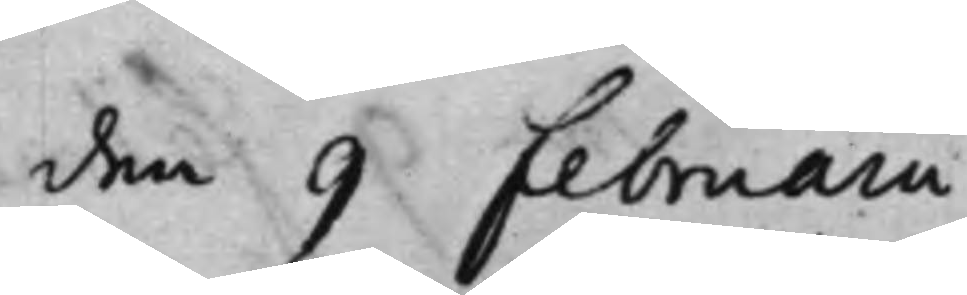den 9 Februarii
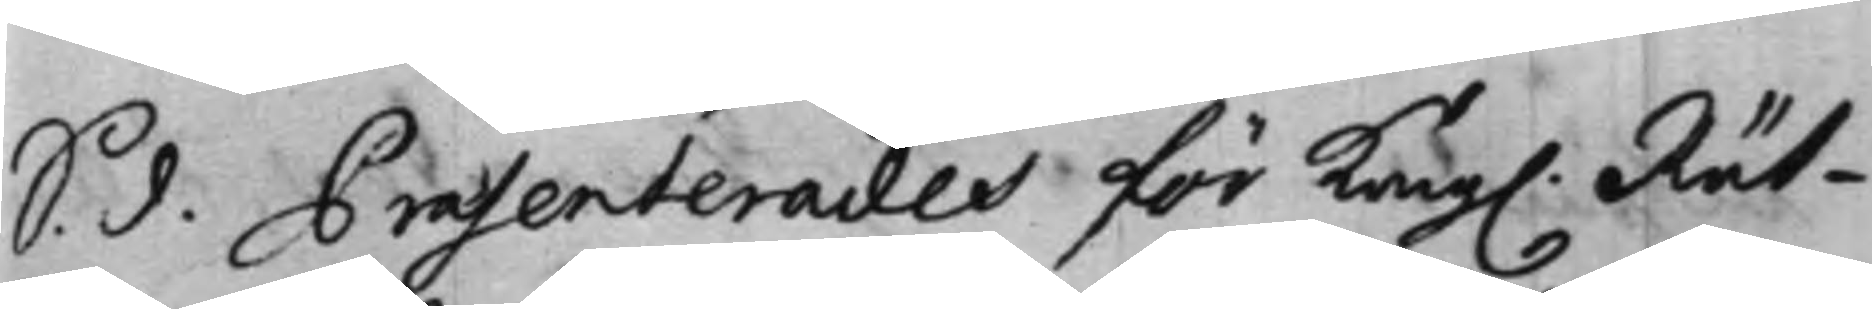S. d. Praesenterades för Kong. Rät¬
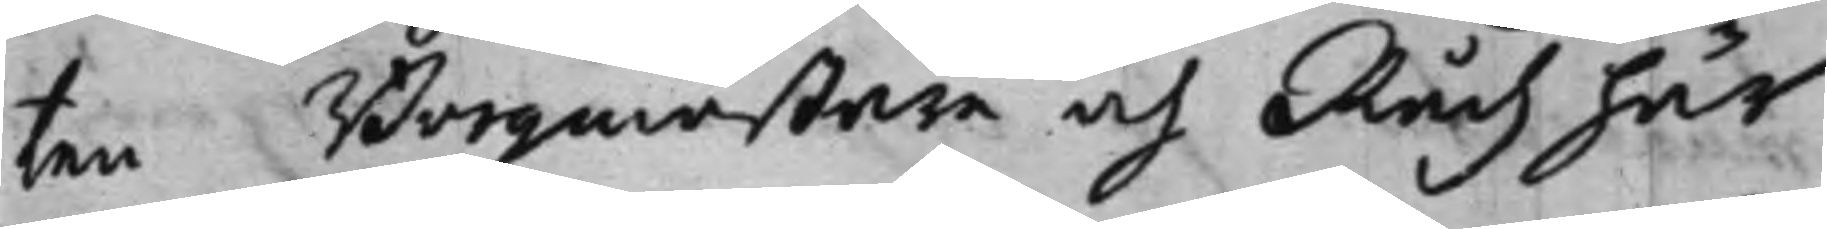ten Borgmästare och Rådh här
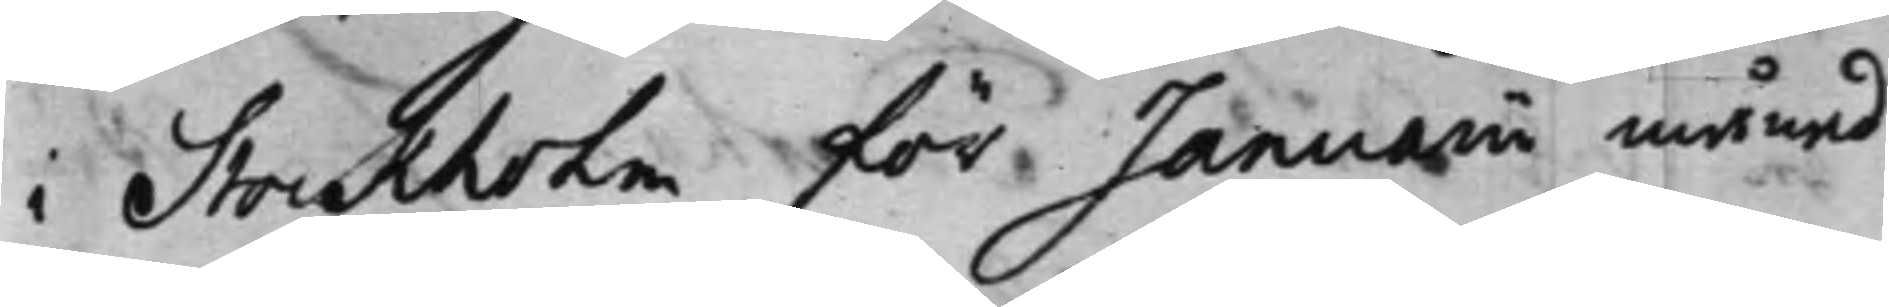i Stockholm för Januarii månad
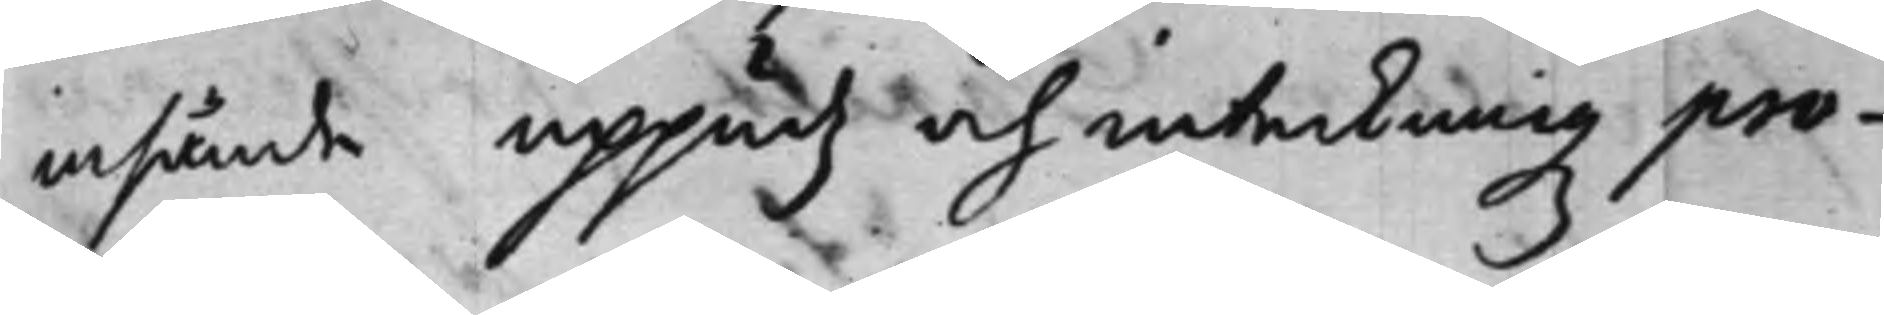insände uppudz och inteckningz pro¬
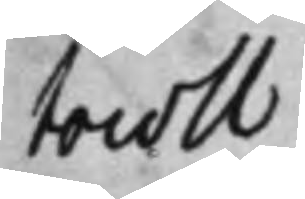tocoll.
